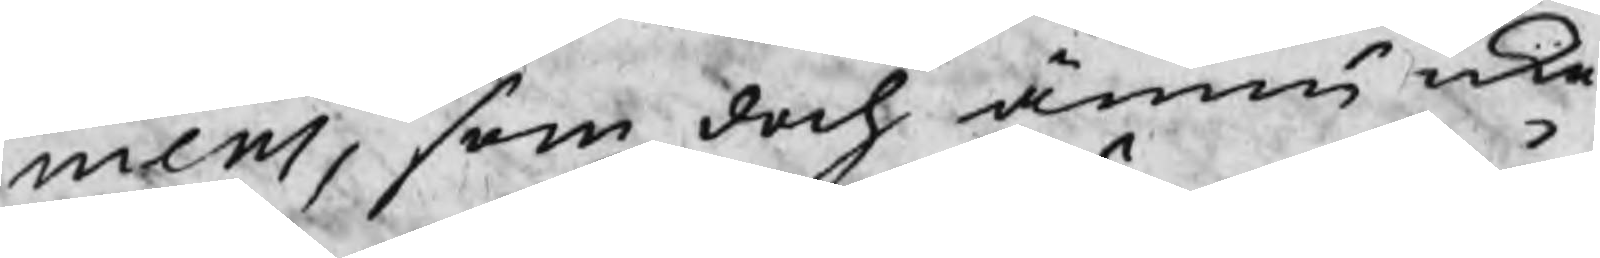mens, som doch ännu icke
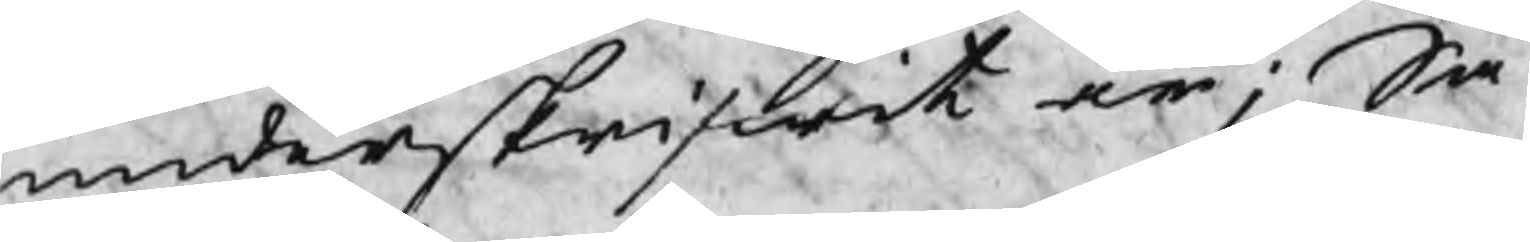underskrifwit är; Så
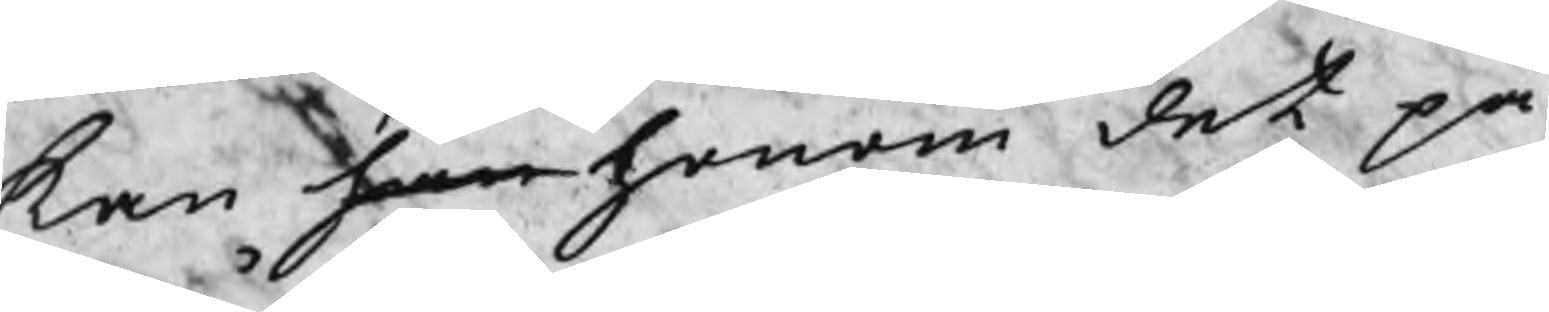kan han honom det på
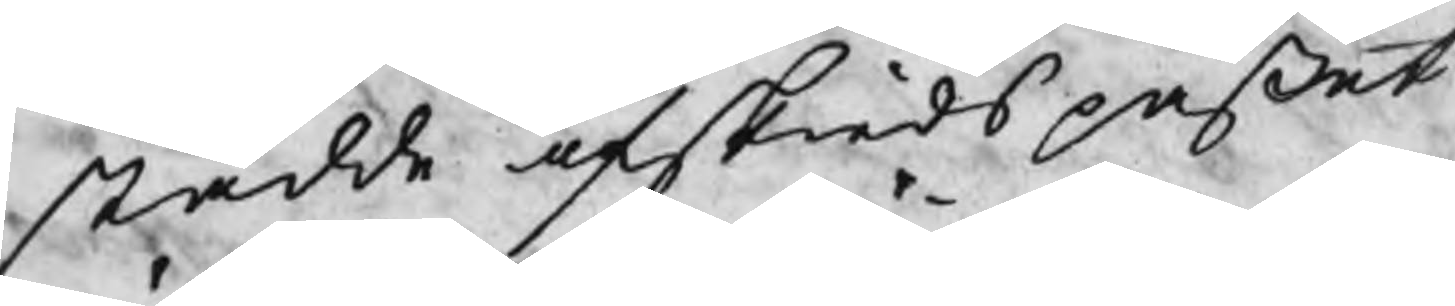stådde afskiedspaßet
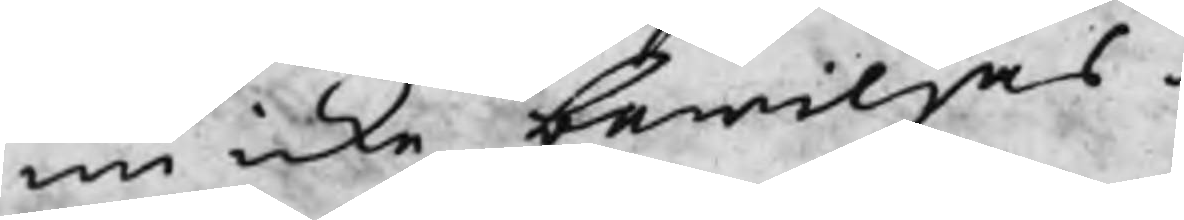nu icke bewiljas.
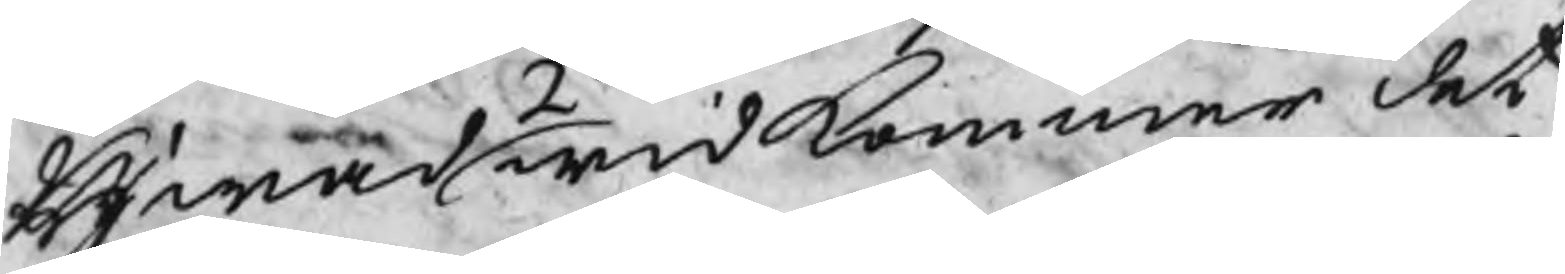Hwad 2o widkommer det
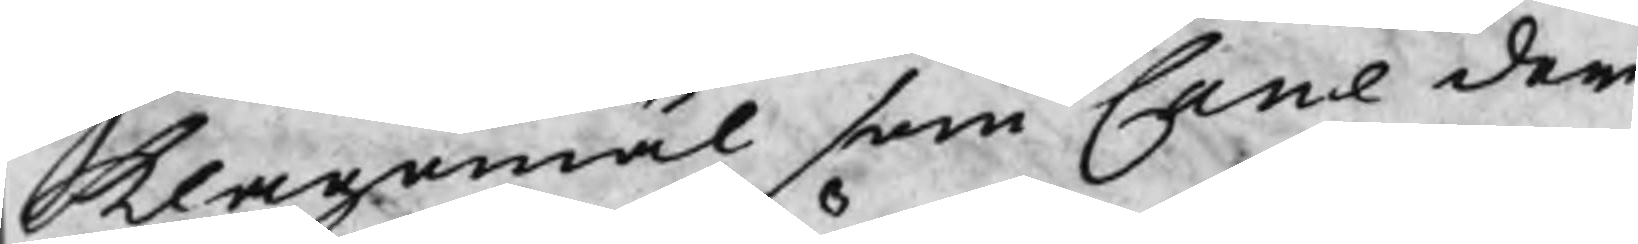klagomål som Cane der
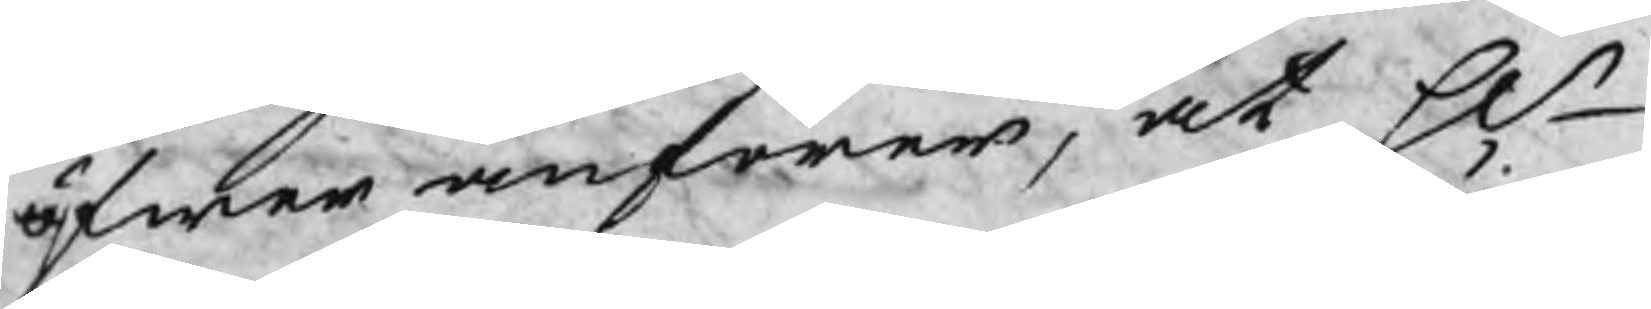öfwer anförer, at Hr
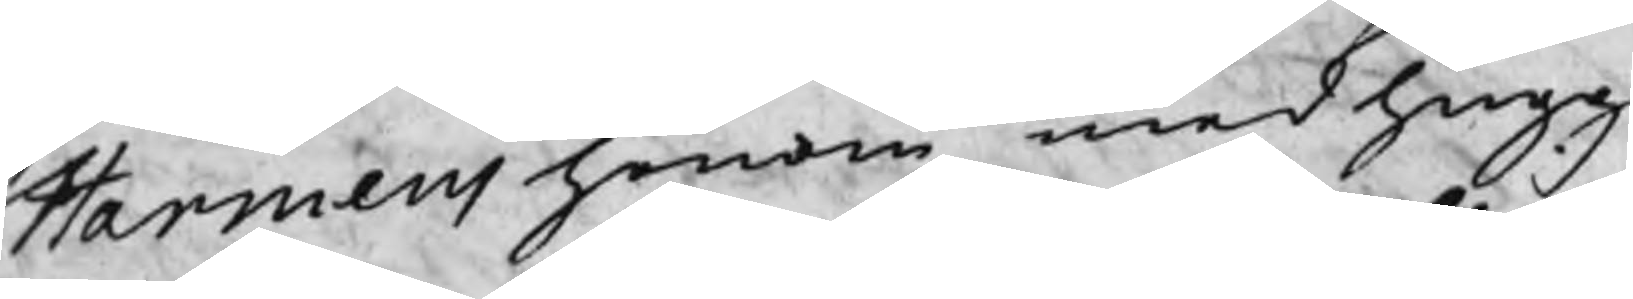Harmens honom med hugg
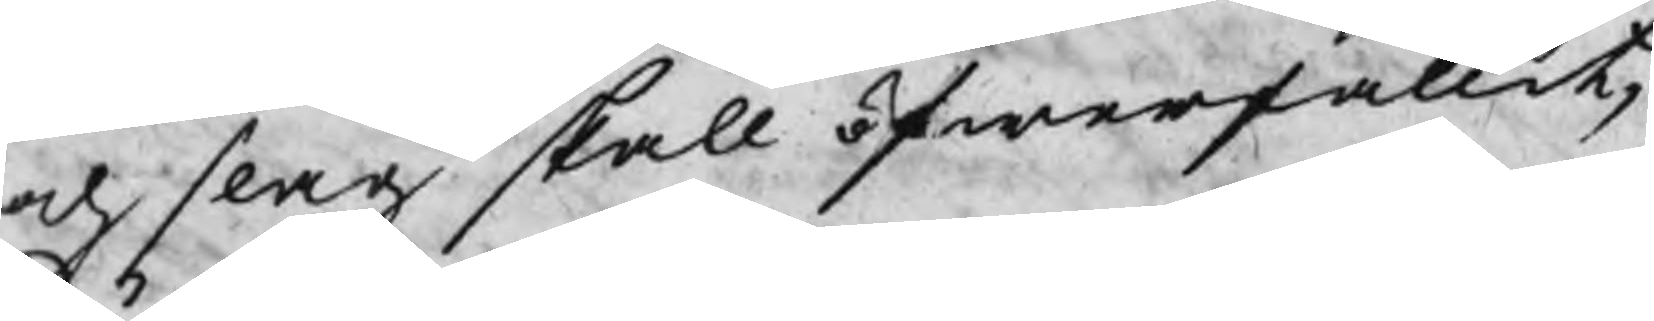och slag skall öfwerfallit;
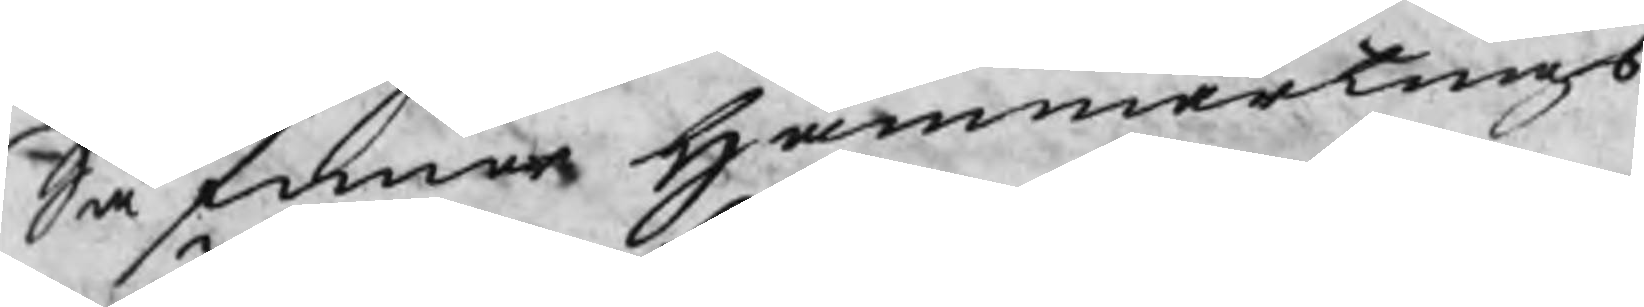Så finner Hammartings
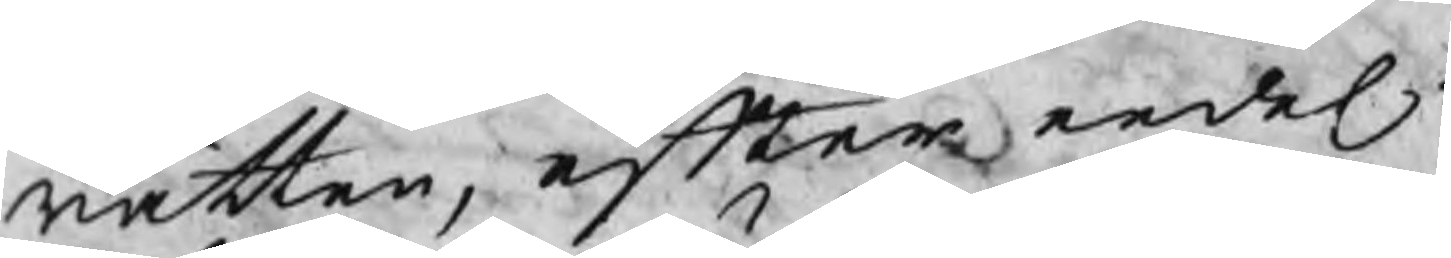rätten, efter eedel:
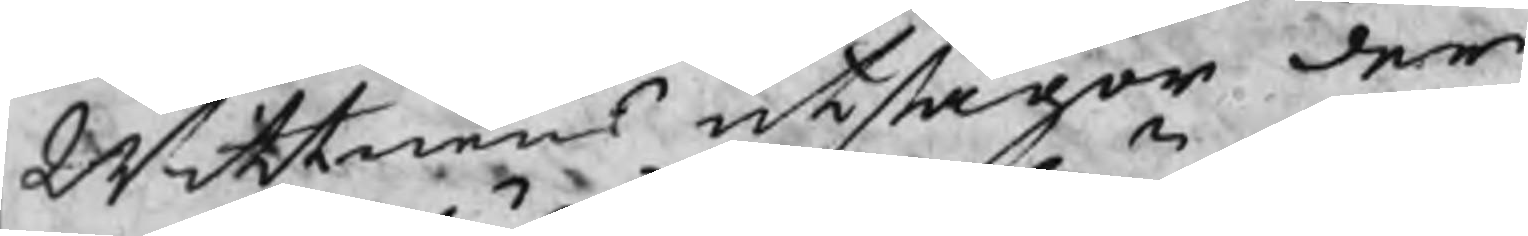Wittnens utsagor der
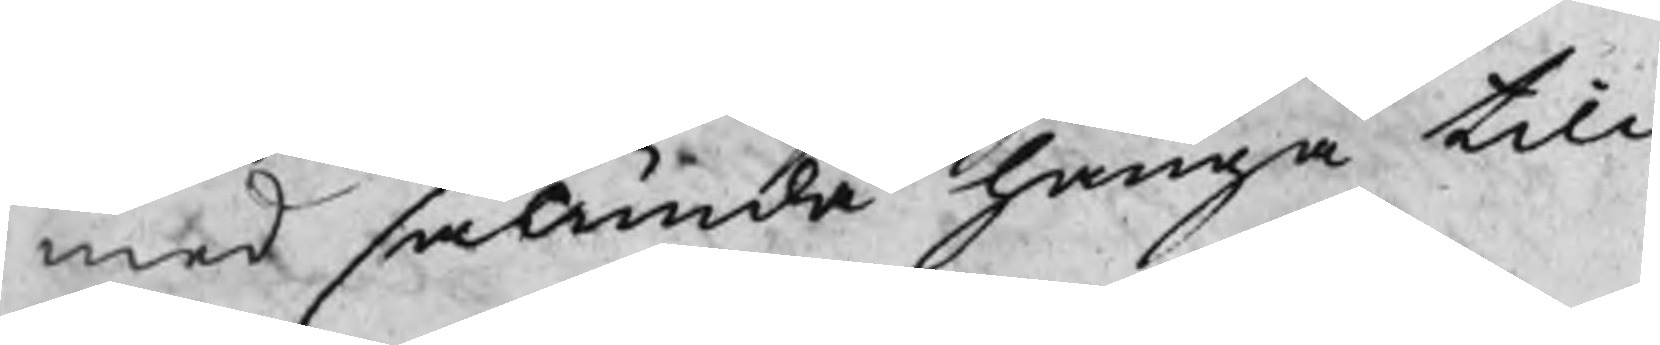med sålunda hänga till
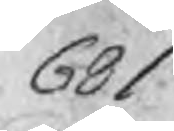681
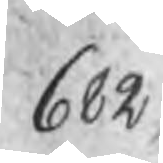682
